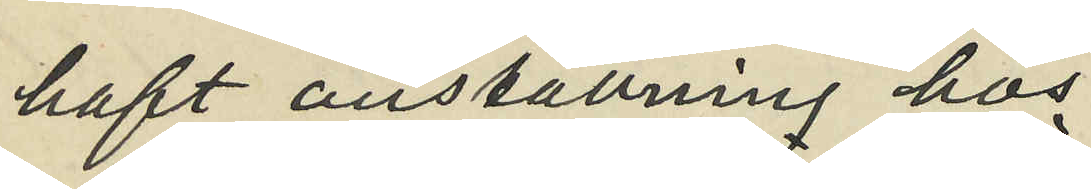haft anställning hos
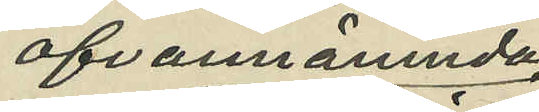ofvannämnda
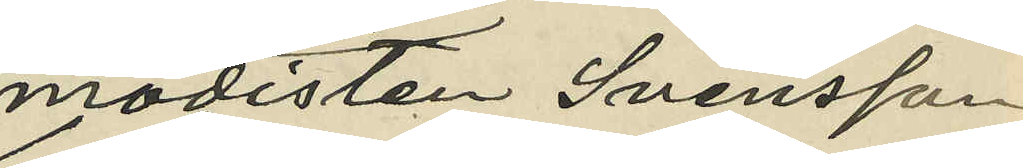modisten Svensson;
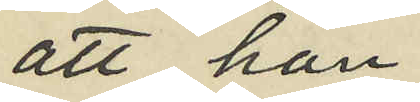att hon
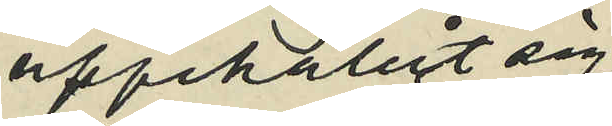uppehållit sig
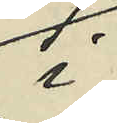i
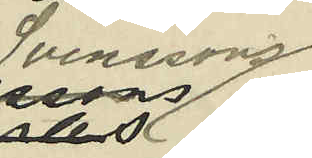Svenssons
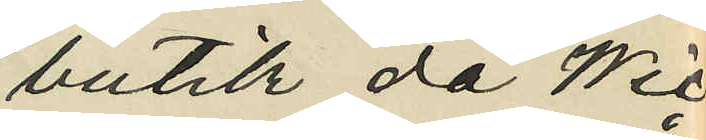butik då Wic¬
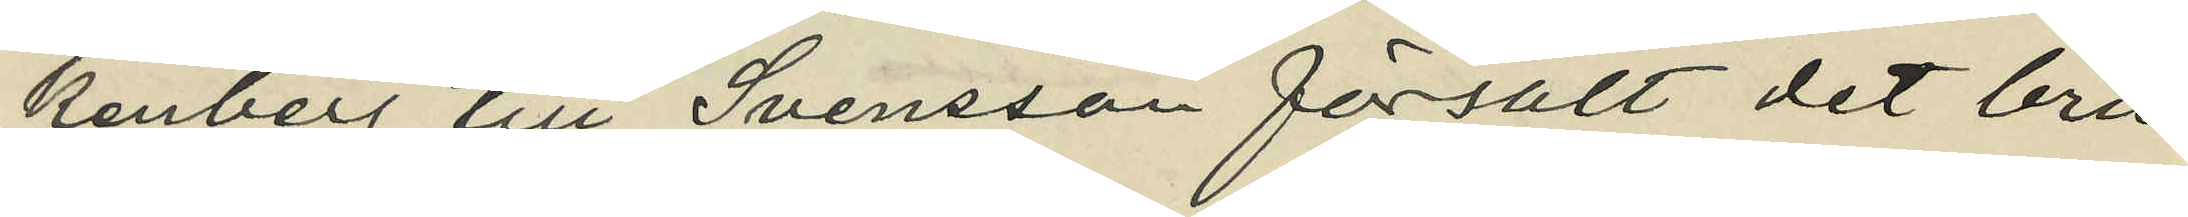kenberg till Svensson försålt det bru¬
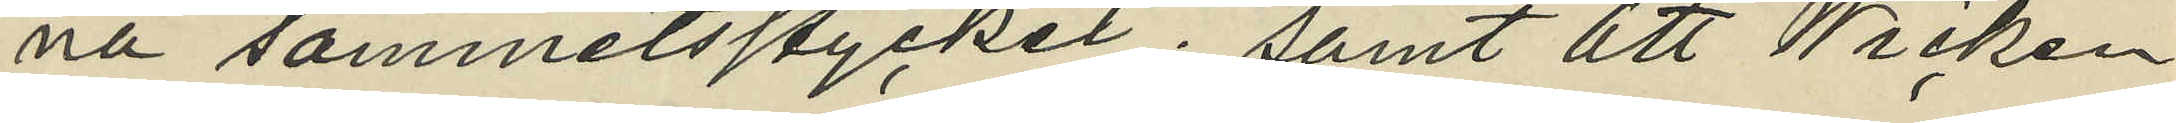na sammetsstycket; samt att Wicken¬
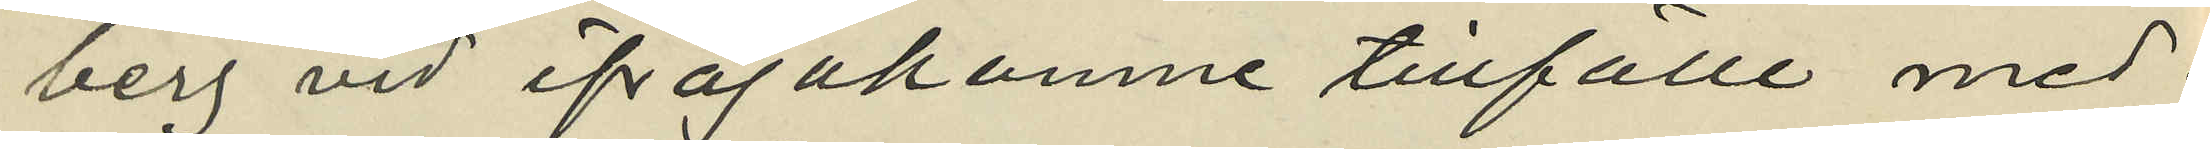berg vid ifrågakomne tillfälle med¬
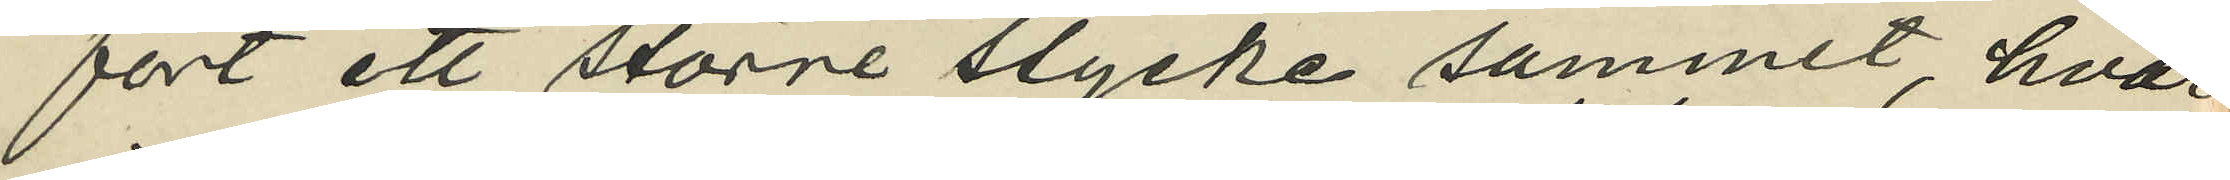fört ett större stycke sammet, hvar¬
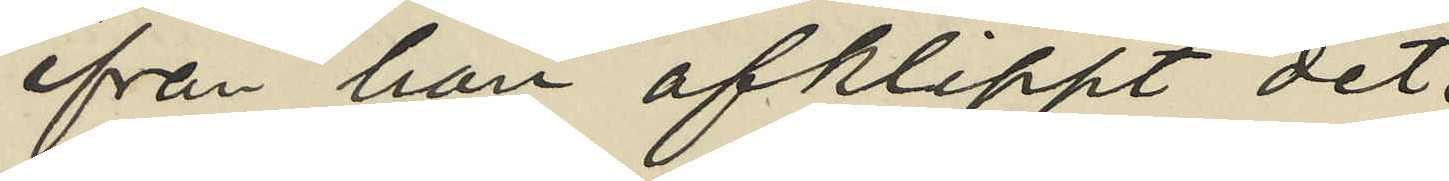från han afklippt det
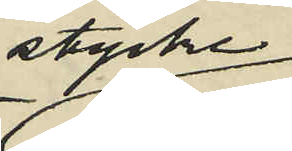stycke
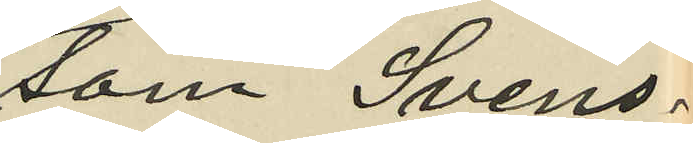som Svens¬
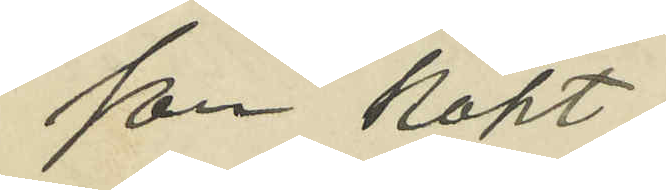son köpt;
